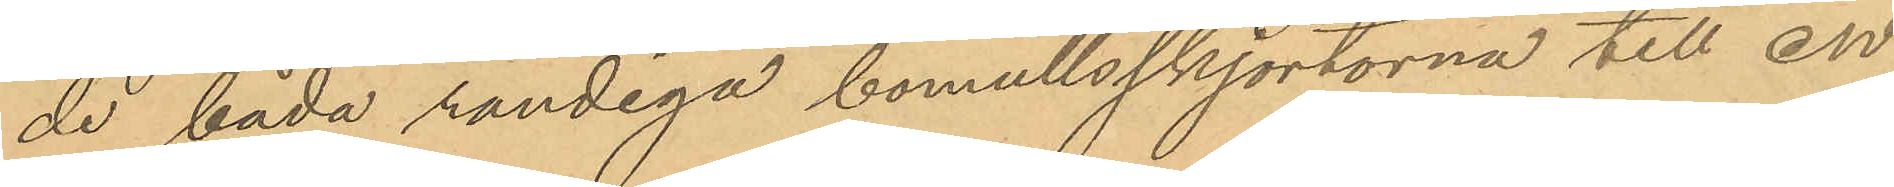de båda randiga bomullsskjortorna till en
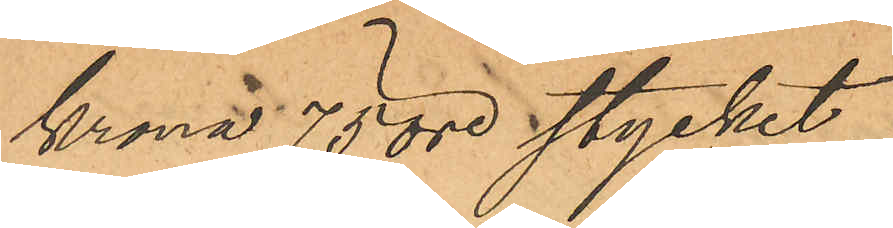Krona 70 öre stycket,
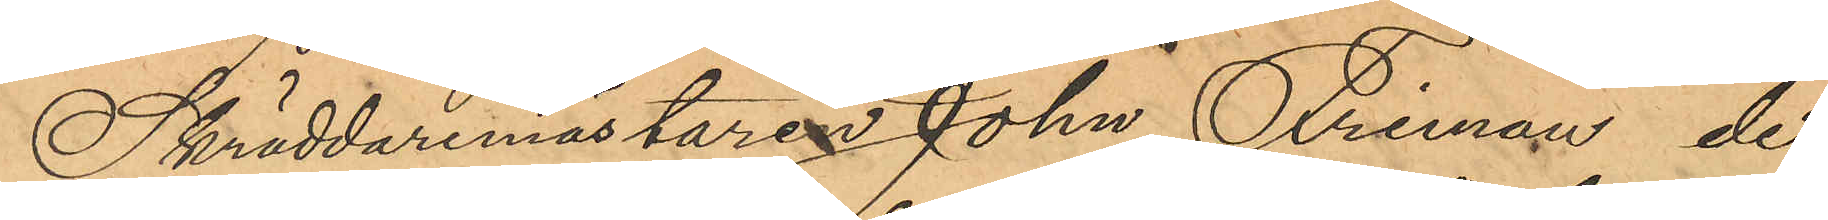Skräddaremästaren John Friman de
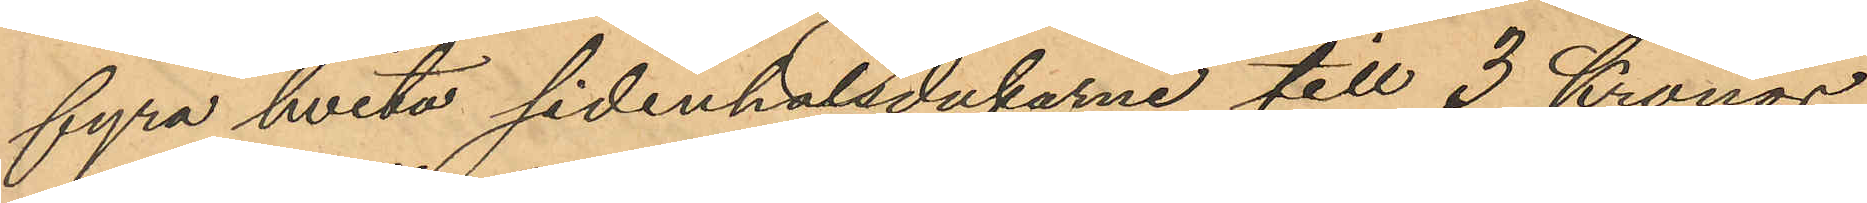fyra hvita sidenhalsdukarne till 3 Kronor
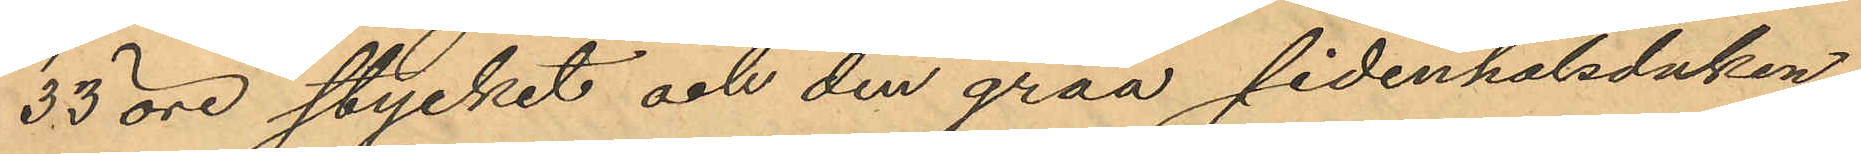33 öre stycket och den gråa sidenhalsduken
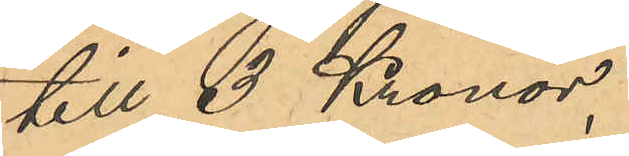till 3 Kronor,
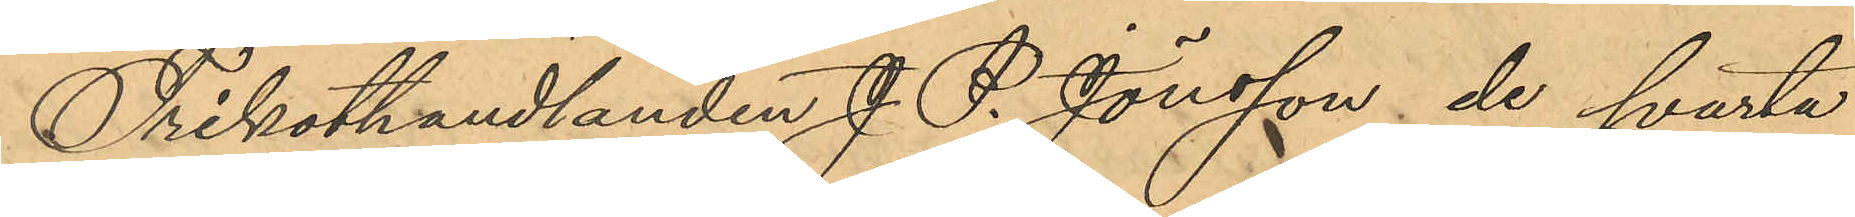Trikothandlanden J. P. Jönsson de svarta
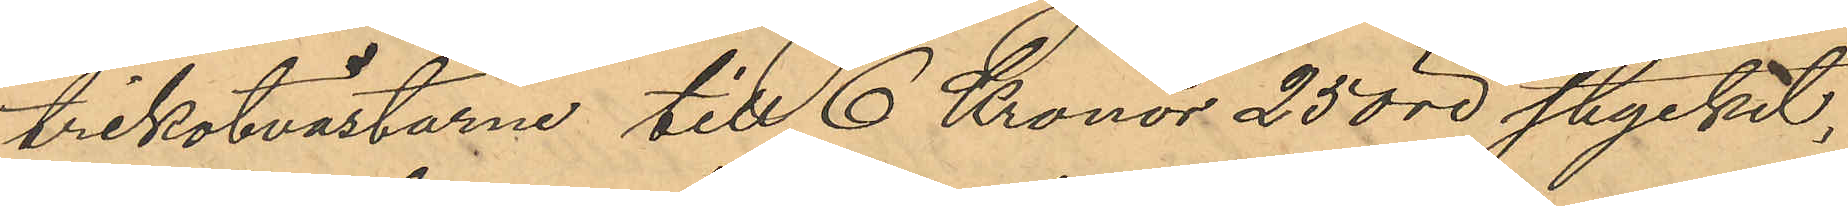trikotvästarne till 6 Kronor 25 öre stycket,
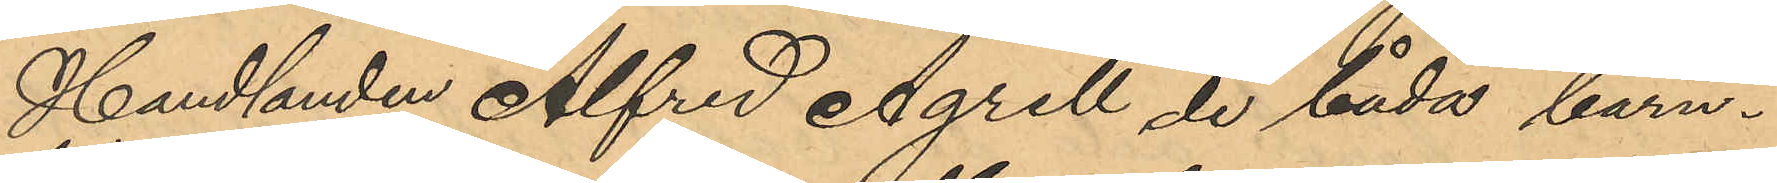Handlanden Alfred Agrell de båda barn¬
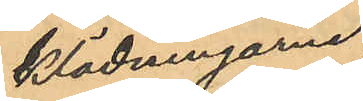klädningarne
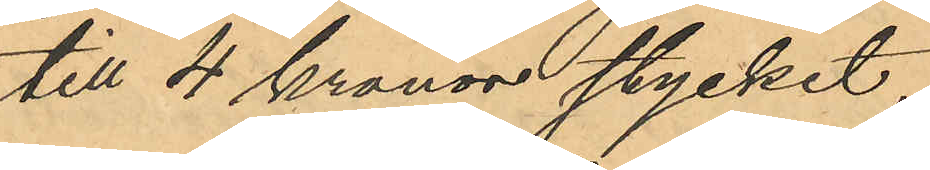till 4 Kronor stycket,
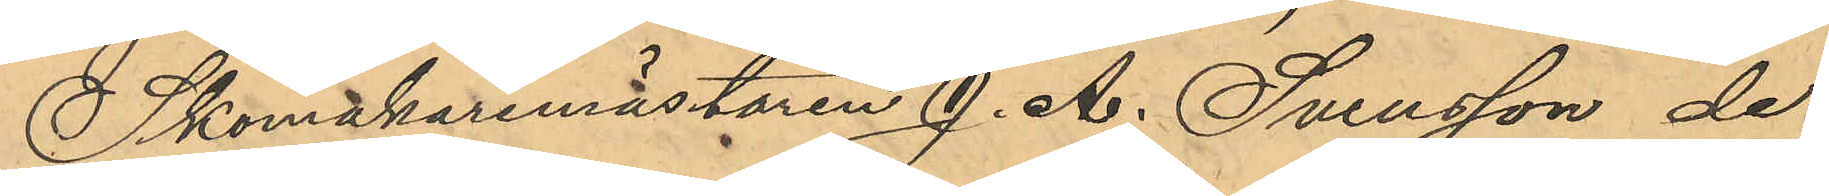Skomakaremästaren J. A. Svensson de
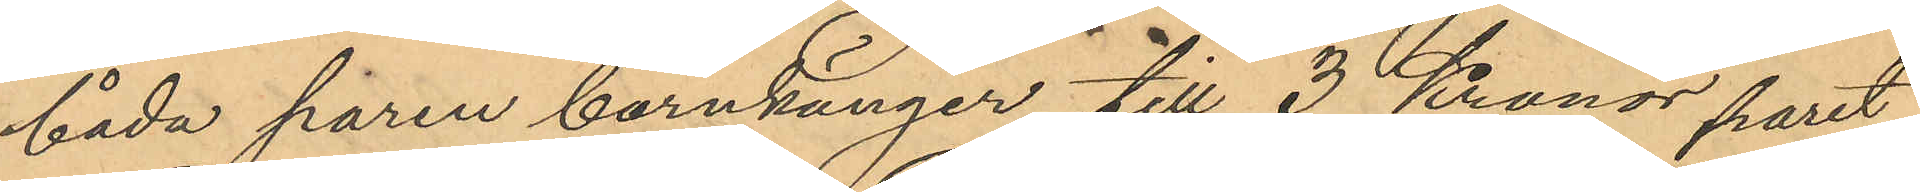båda paren barnkänger till 3 Kronor paret,
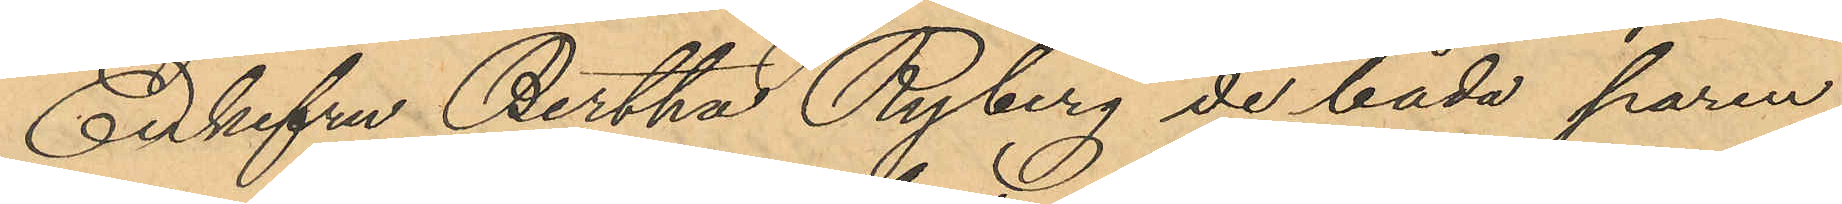Enkefru Bertha Ryberg de båda paren
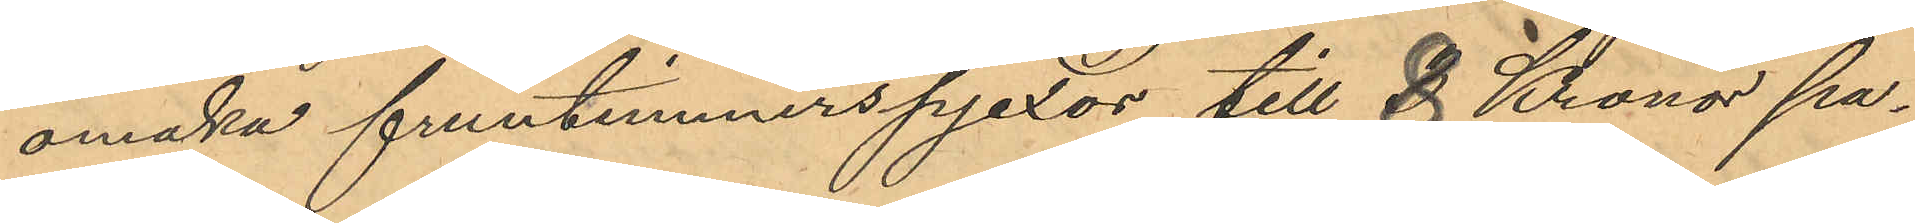omaka fruntimmerspjexor till 8 Kronor pa¬
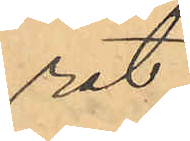ret,
